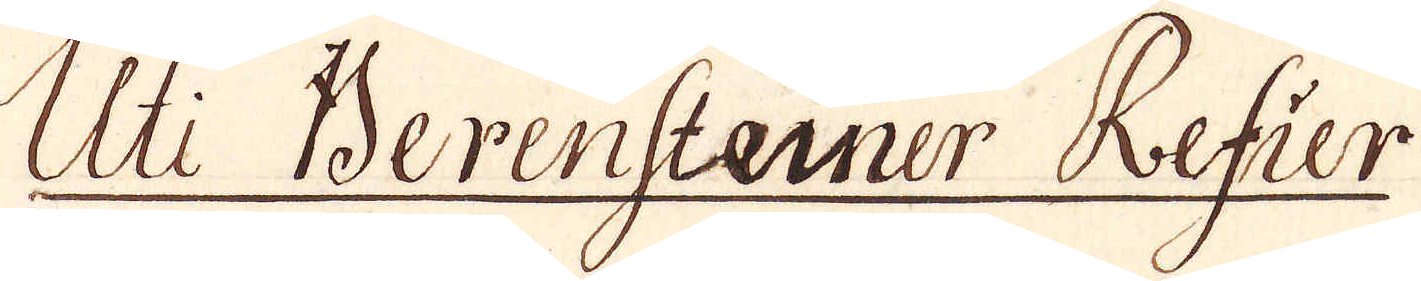Uti Berensterner Refier
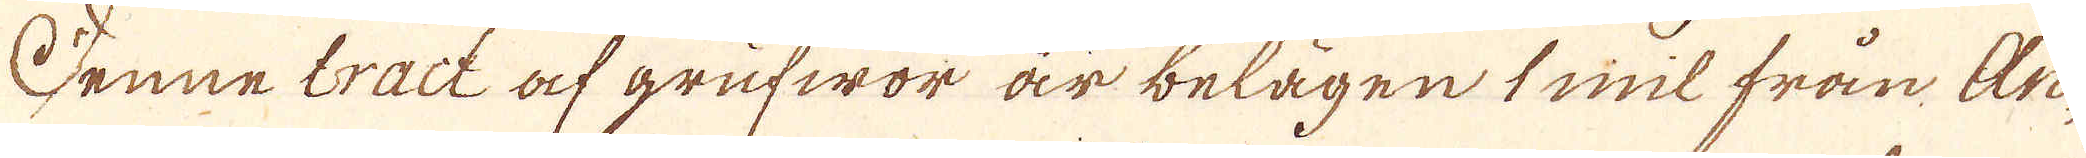Denne tract af grufwor är belägen 1 mil från An-
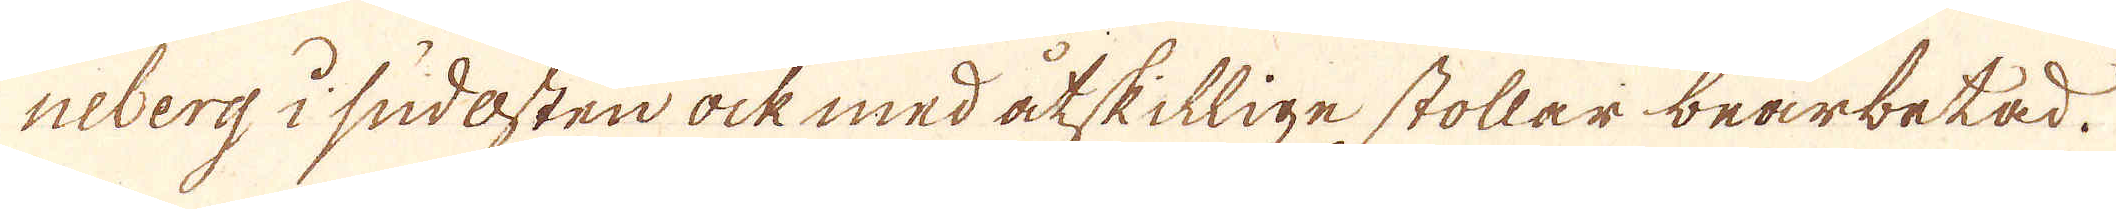neberg i sudasten ock med åtskillige stollar bearbetad.
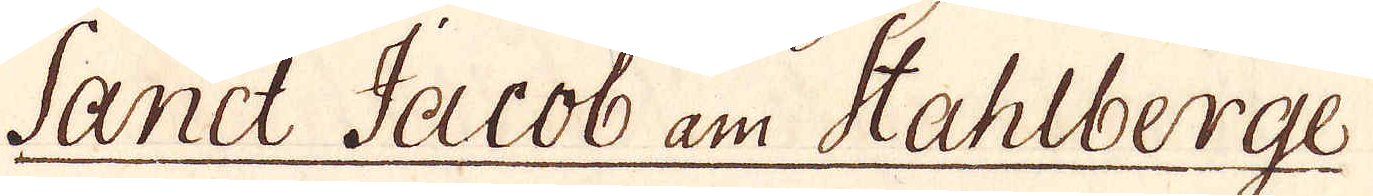Sanct Jacob am Stahlberge
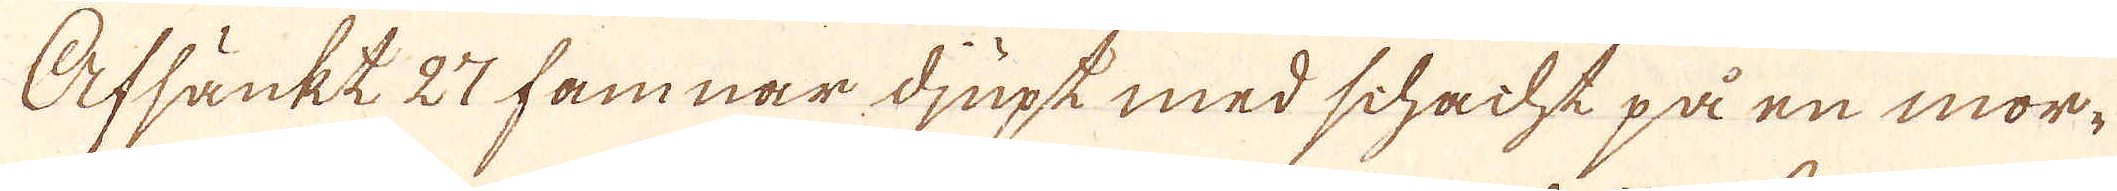Afsänkt 27 famnar djupt med schacht på en mor-
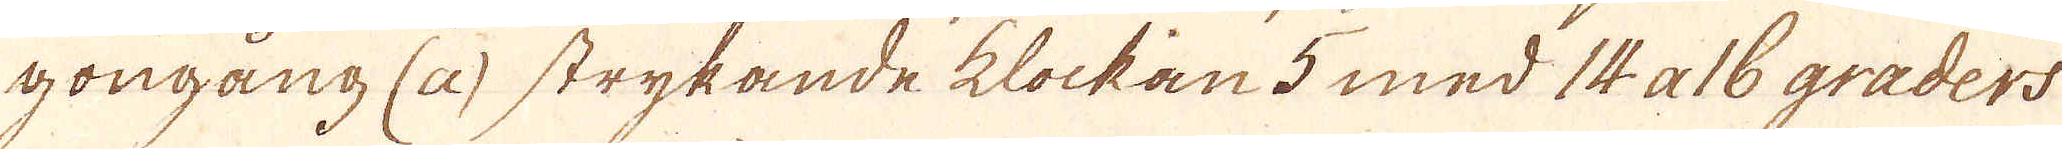gongång (a) strykande klockan 5 med 14 a 16 graders
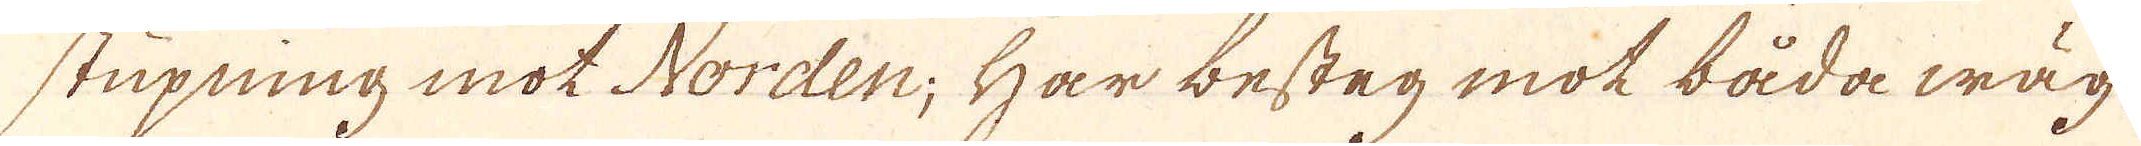stupning mot Norden; Har besteg mot båda wäg-
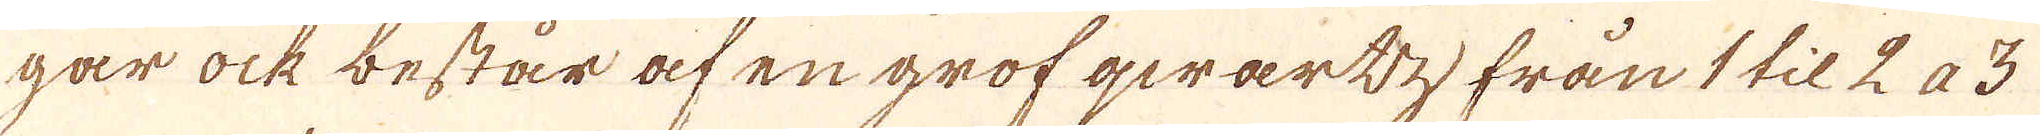gar ock består af en grof qwärtz från 1 til 2 a 3
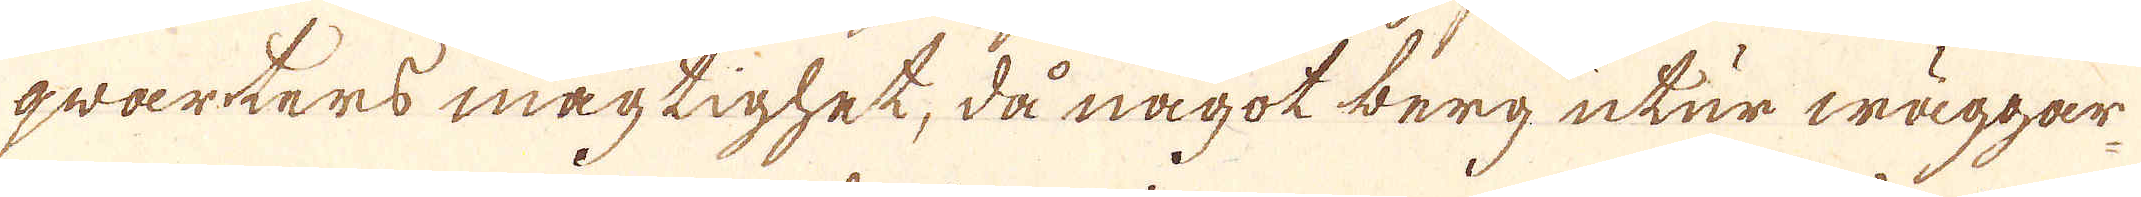qwarters mägtighet, då något berg utur wäggar-
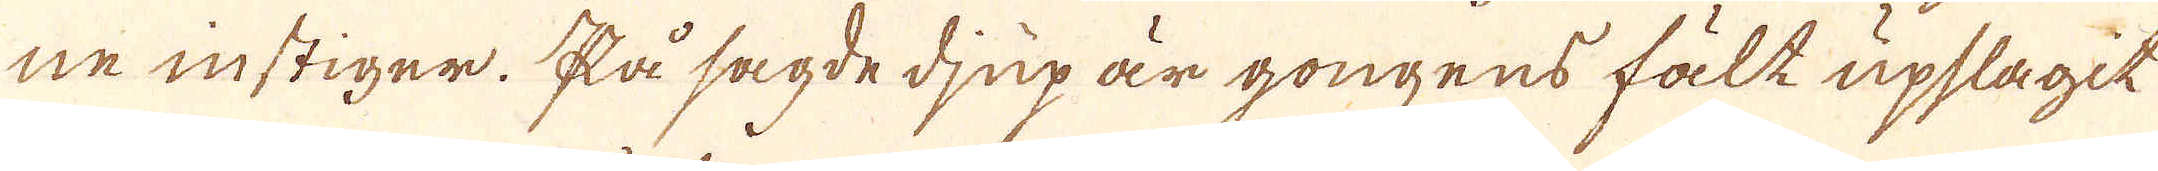ne instiger. På sagde djup är gongens fält upslagit
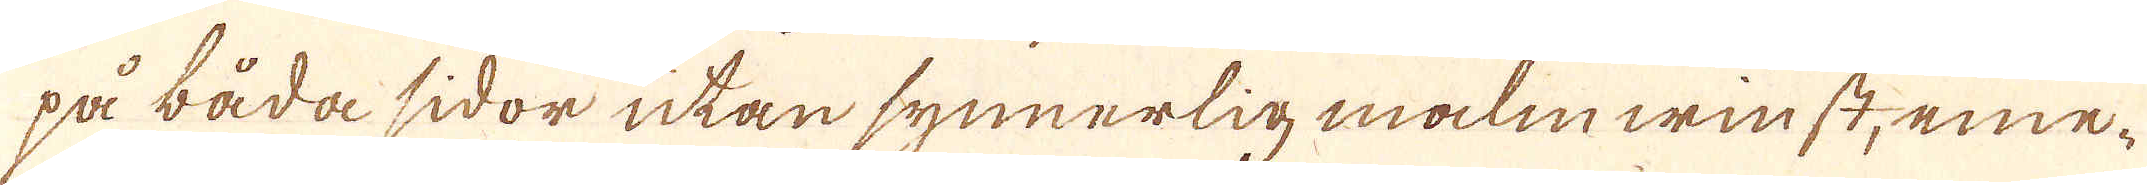på båda sidor utan synnerlig malmwinst, eme-
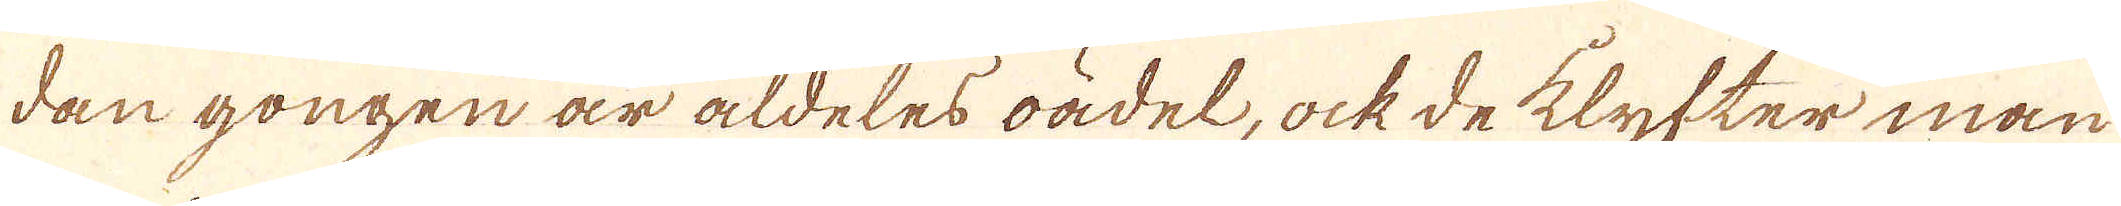dan gongen är aldeles oädel, ock de klyfter man
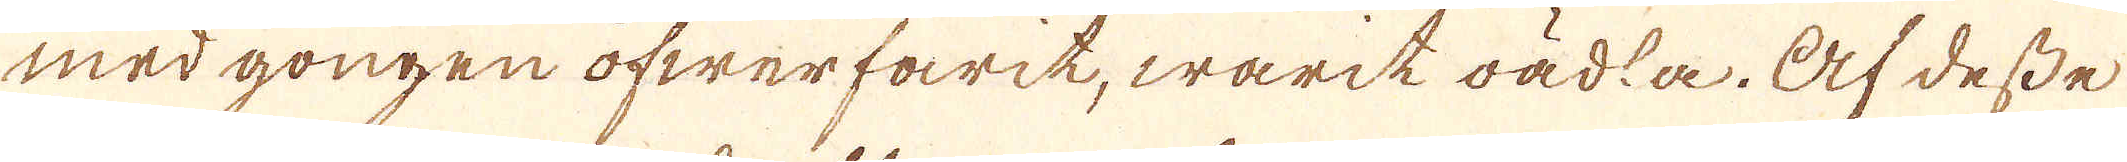med gongen öfwerfarit, warit oädta. Af desse
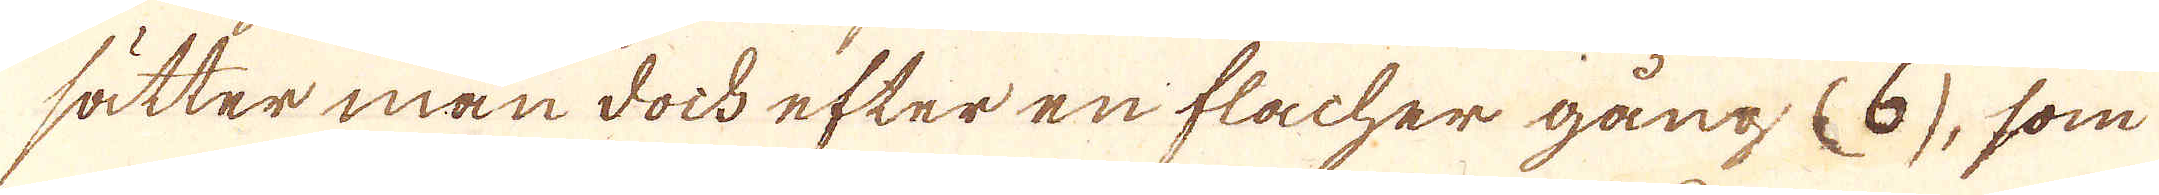sätter man doch efter en flacher gång (6), som
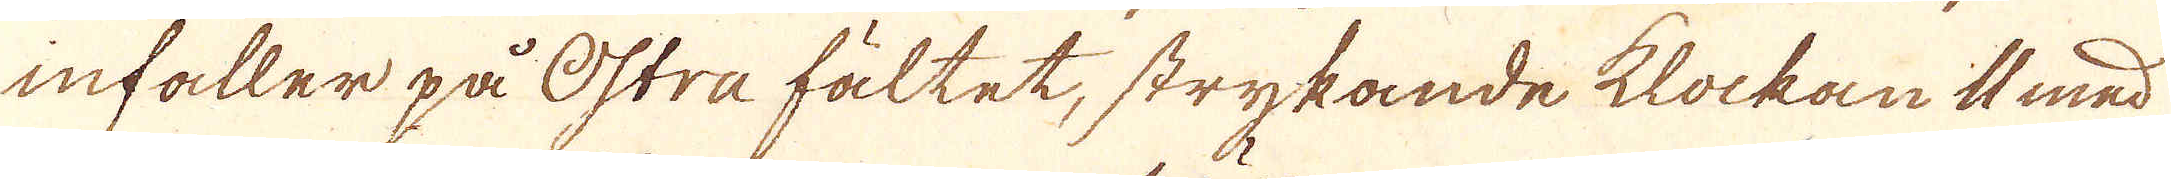infaller på Östra fältet, strykande klockan i med
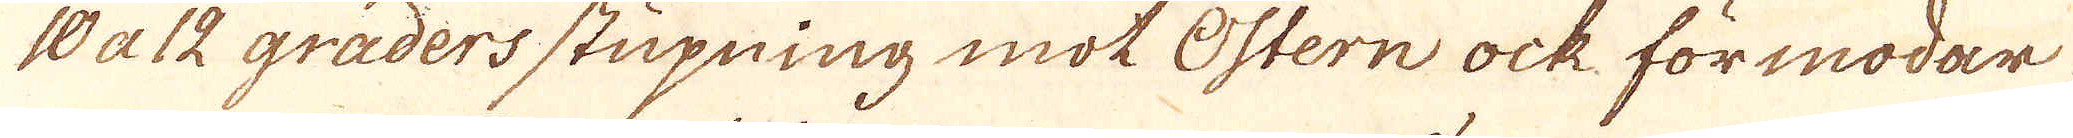10 a 12 graders stupning mot Östern ock förmodar
